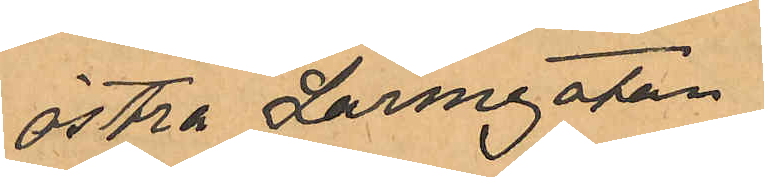Östra Larmgatan,
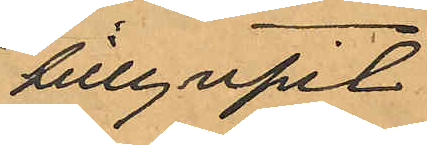tillgripit
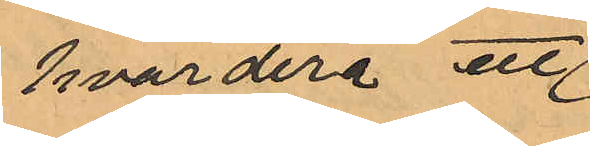hvardera ett
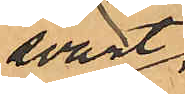svart
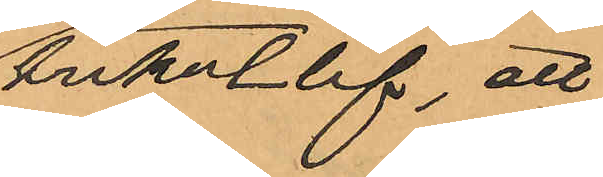trikotlif, att
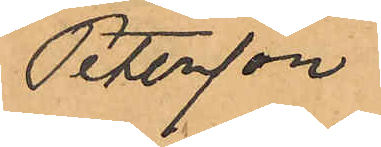Petersson
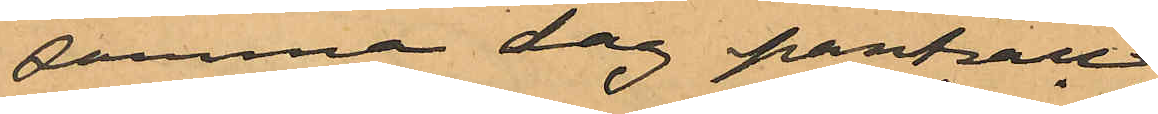samma dag pantsatt
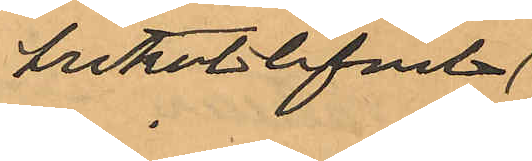trikotlifvet
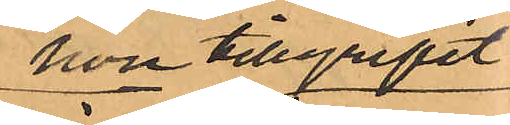hon tillgripit
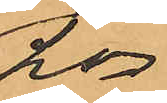hos
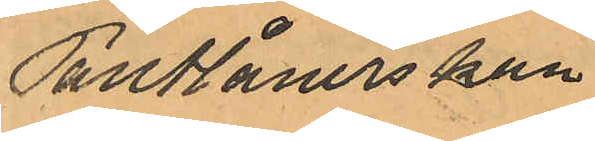Pantlånerskan
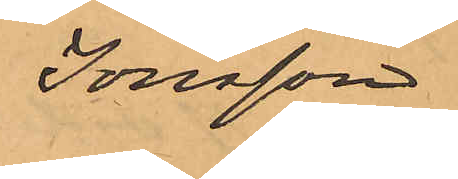Jonsson
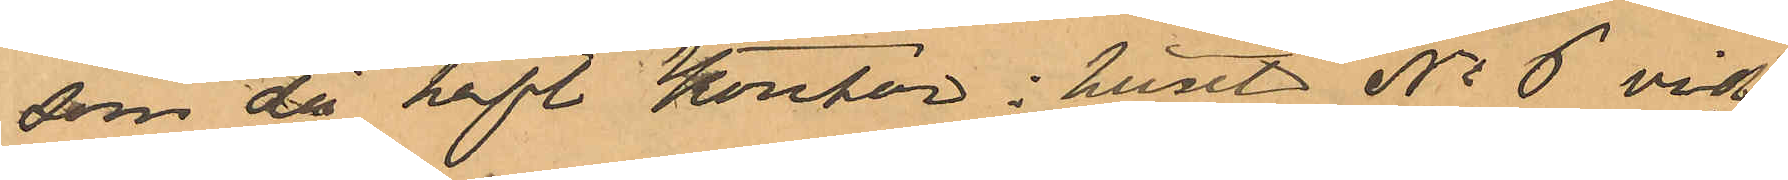som då haft kontor i huset No 6 vid
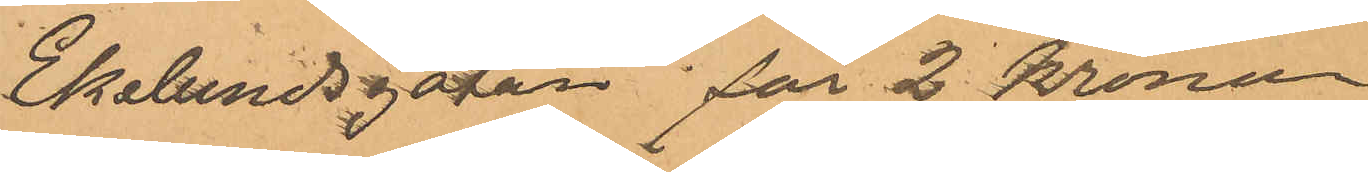Ekelundsgatan för 2 kronor,
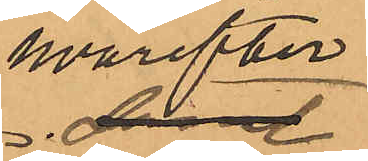hvarefter
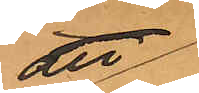att
